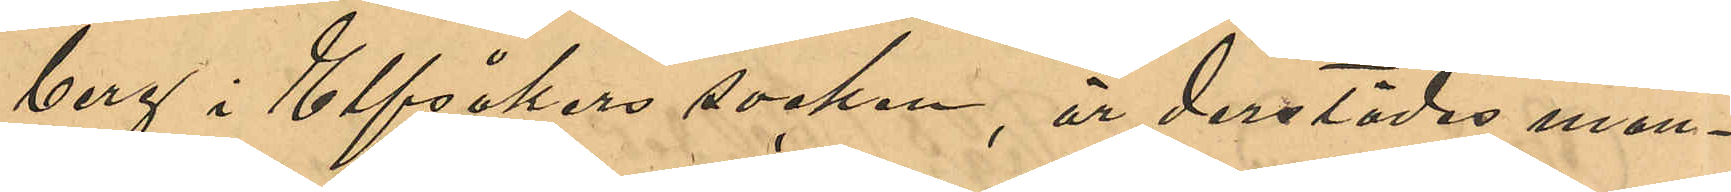berg i Elfsåkers socken, är derstädes man¬
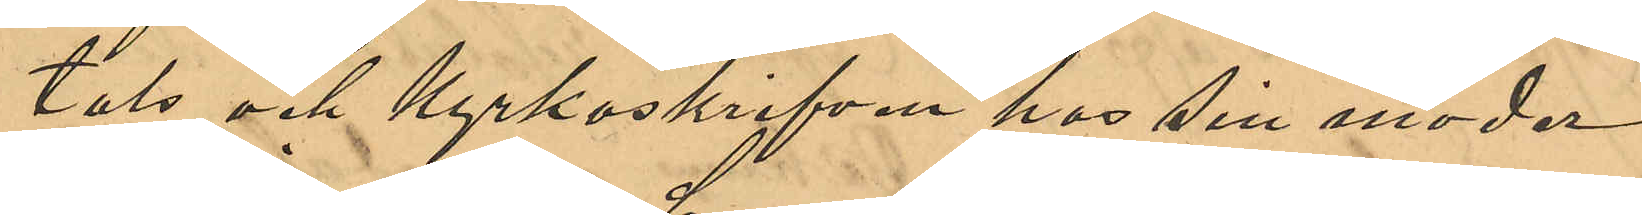tals och kyrkoskrifven hos sin moder
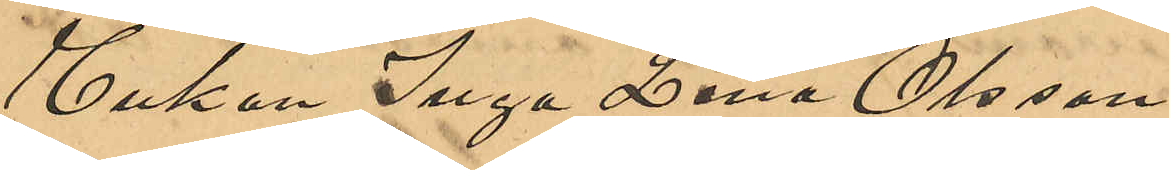Enkan Inga Lena Olsson.
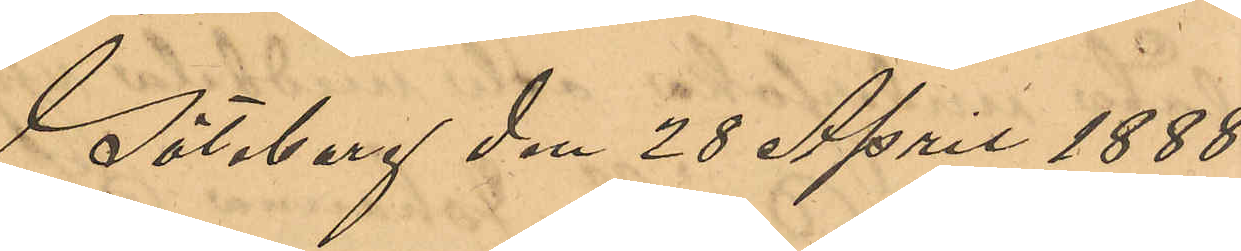Göteborg den 28 April 1888.
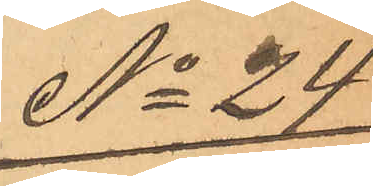No 24
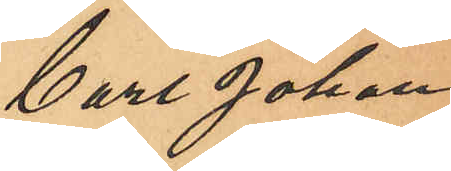Carl Johan
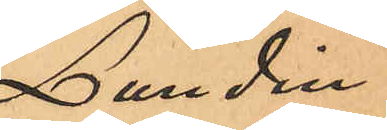Lundin.
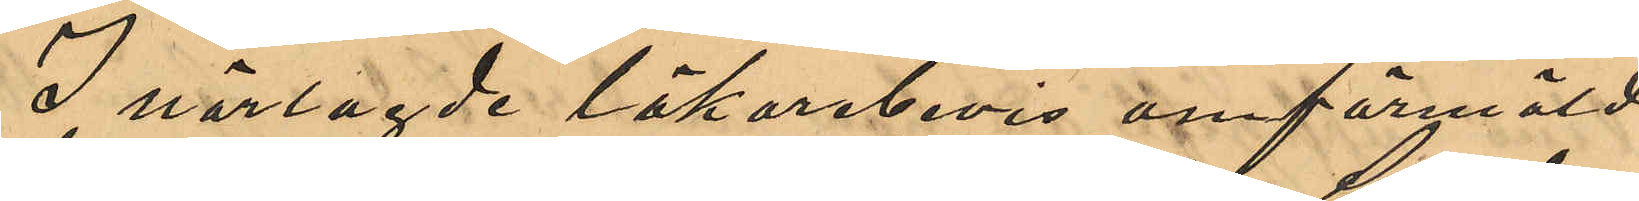I närlagde läkarebevis omförmälde
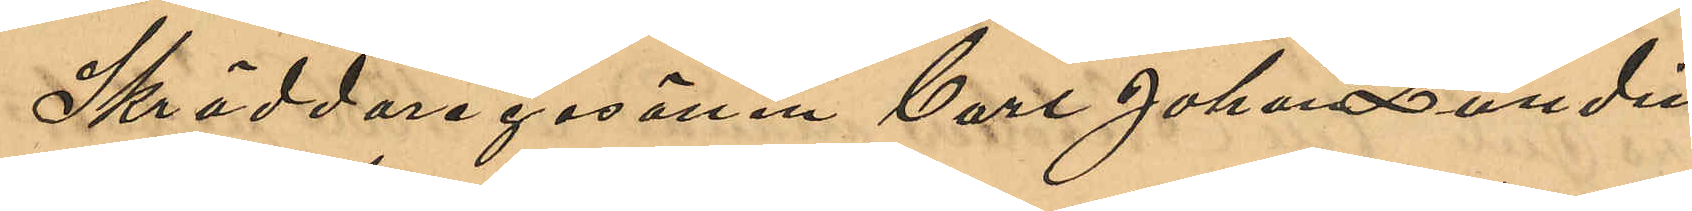Skräddaregesällen Carl Johan Lundin
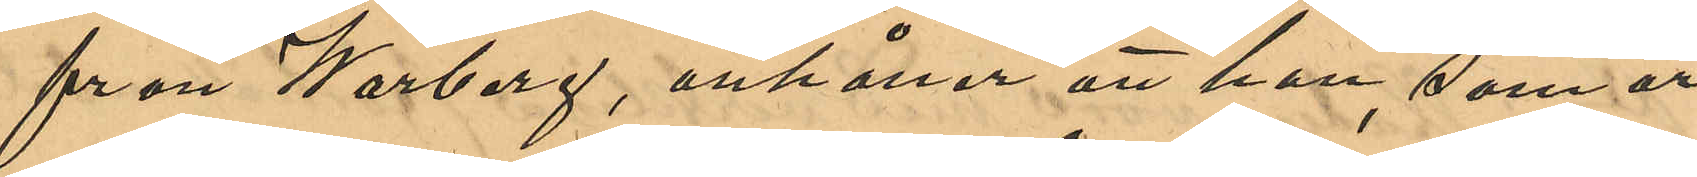från Warberg, anhåller att han, som är
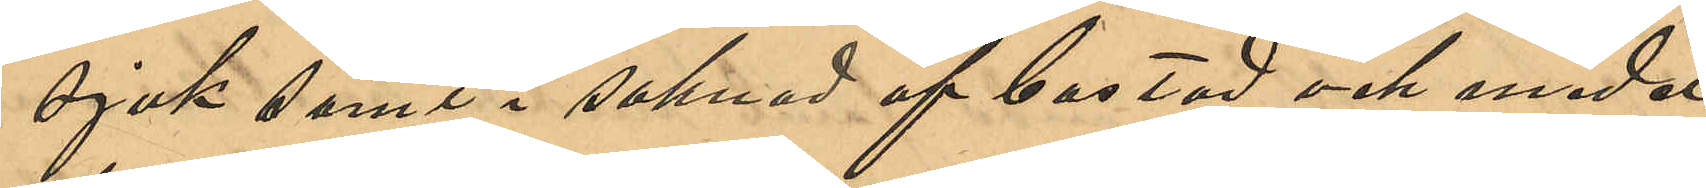sjuk samt i saknad af bostad och medel
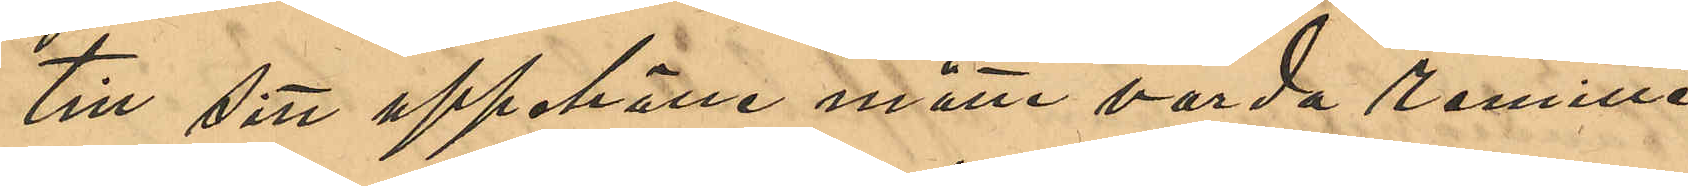till sitt uppehälle måtte varda remitte¬
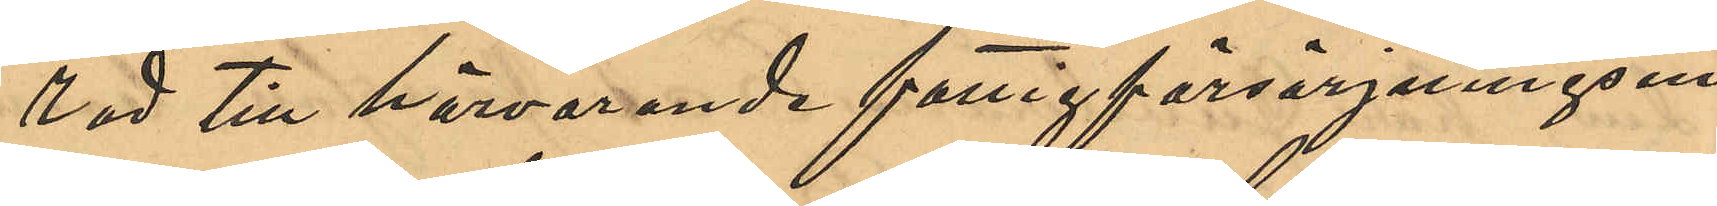rad till härvarande fattigförsörjningsin¬
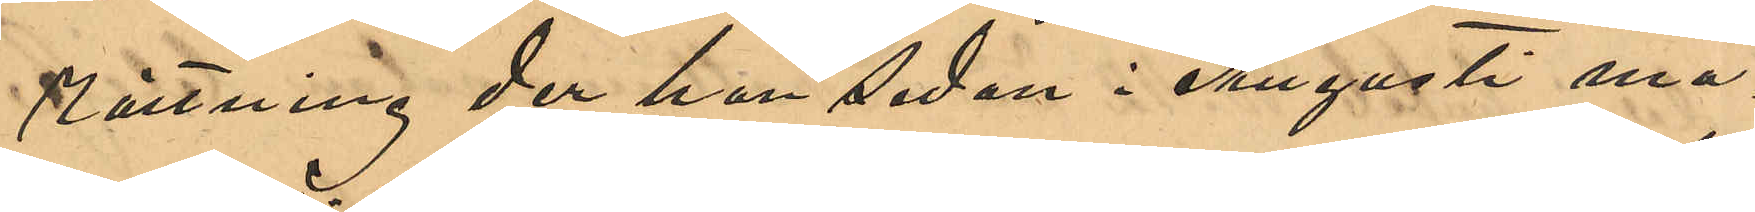rättning der han sedan i Augusti må¬
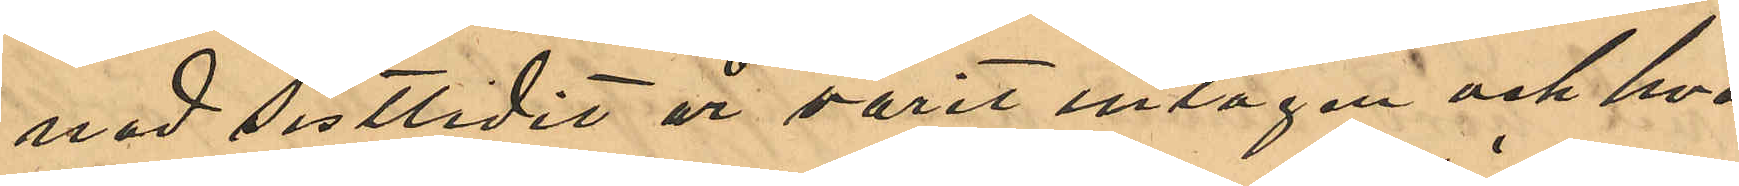nad sistlidne år varit intagen och hva¬
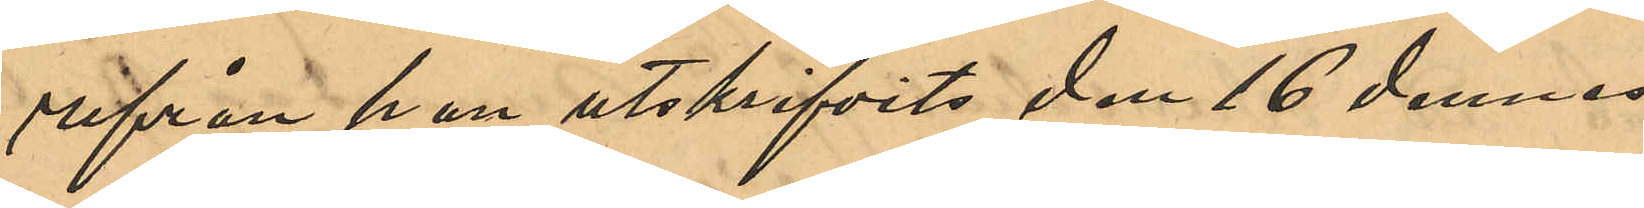rifrån han utskrifvits den 16 dennes.
